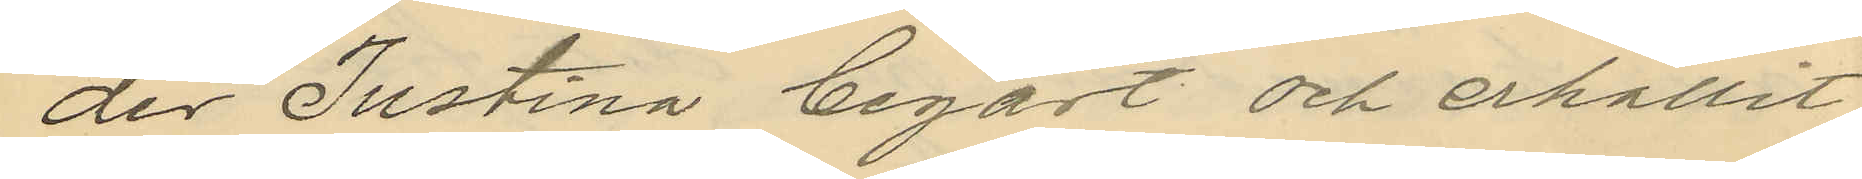der Justina begärt och erhållit
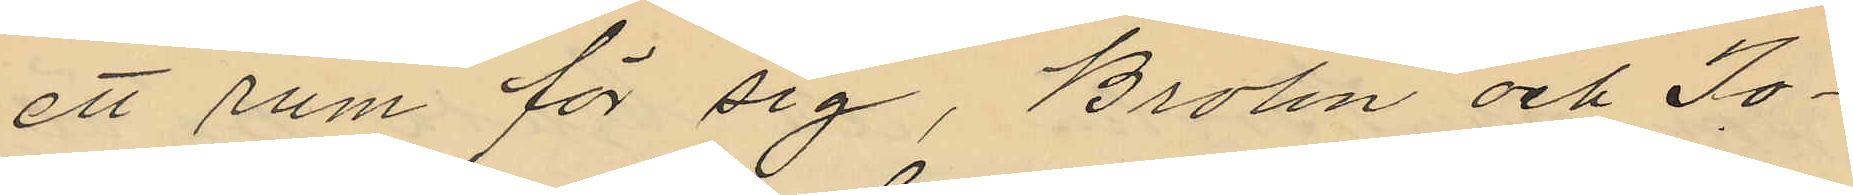ett rum för sig, Brolin och Jo¬
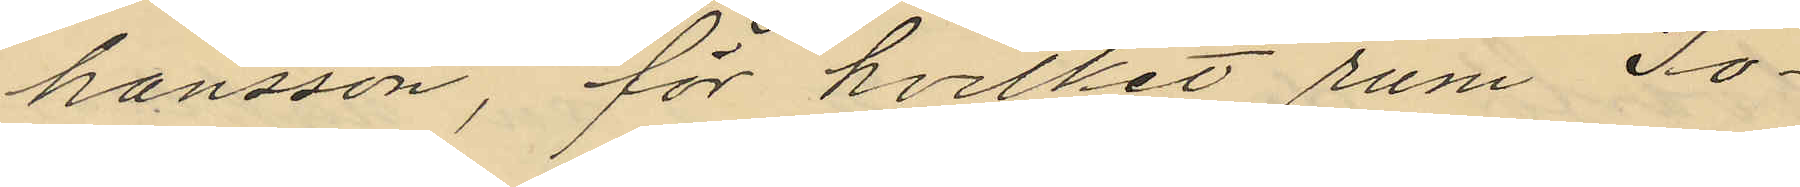hansson, för hvilket rum Jo¬
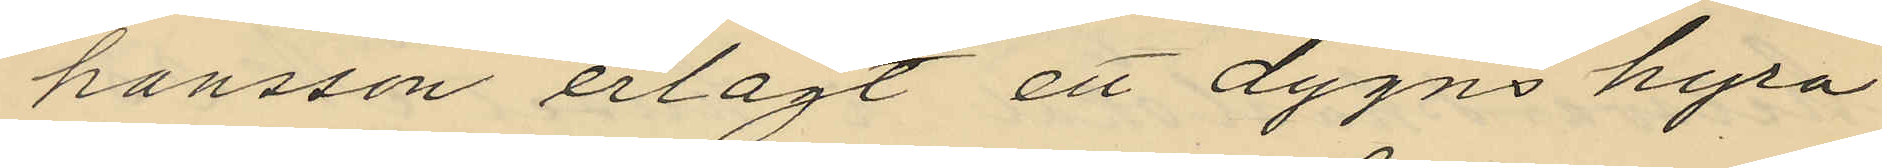hansson erlagt ett dygns hyra
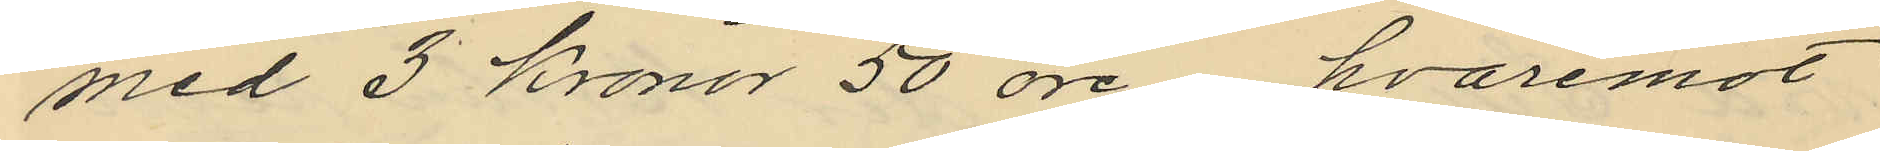med 3 kronor 50 öre hvaremot
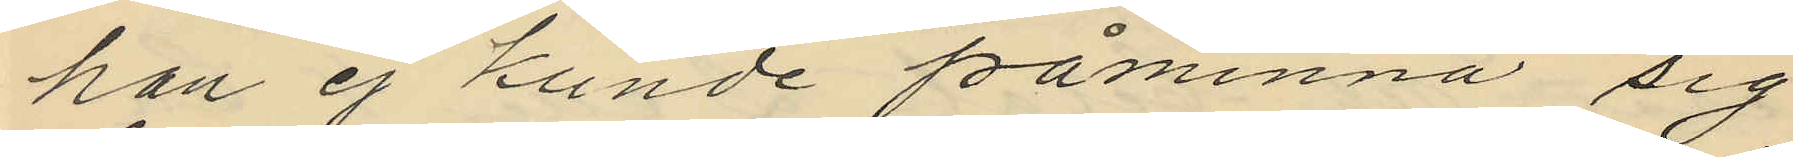han ej kunde påminna sig
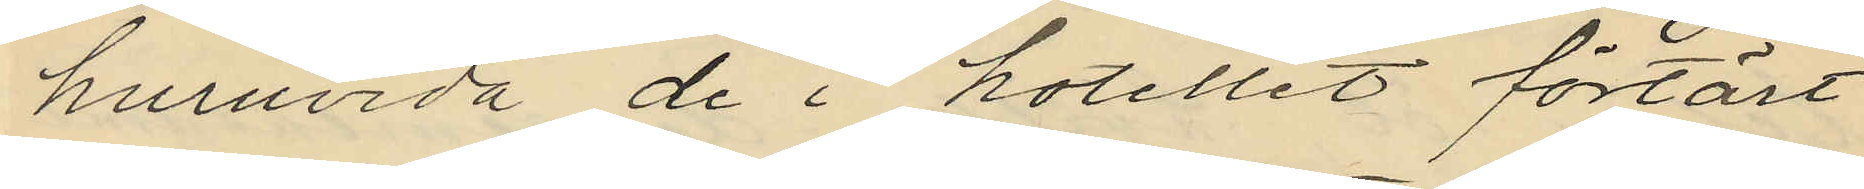huruvida de i hotellet förtärt
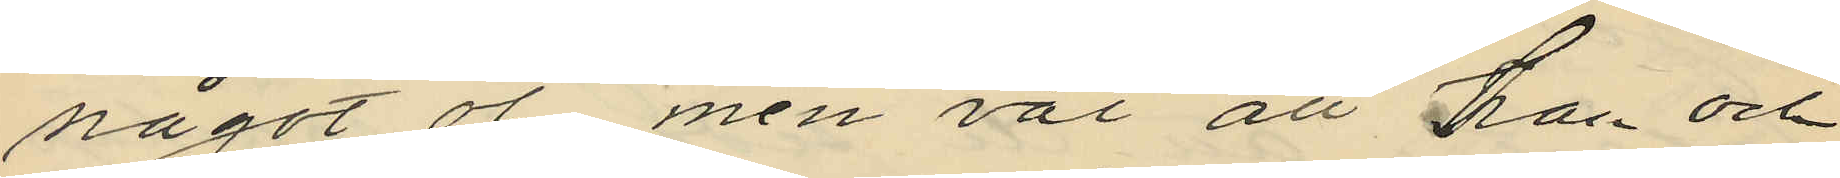något öl men väl att han och
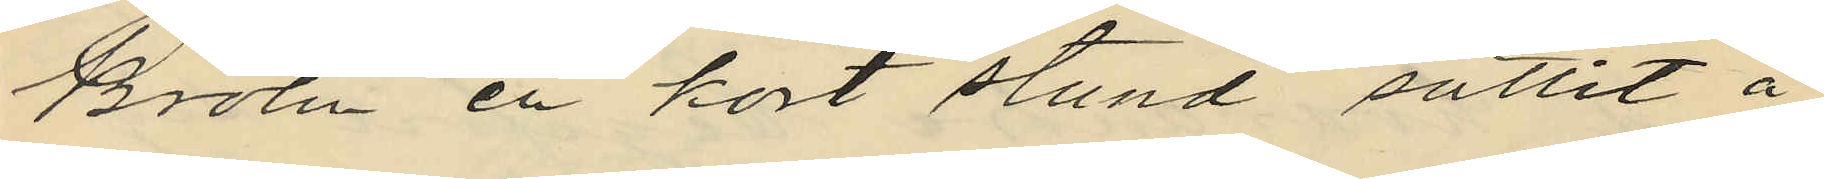Brolin en kort stund suttit å
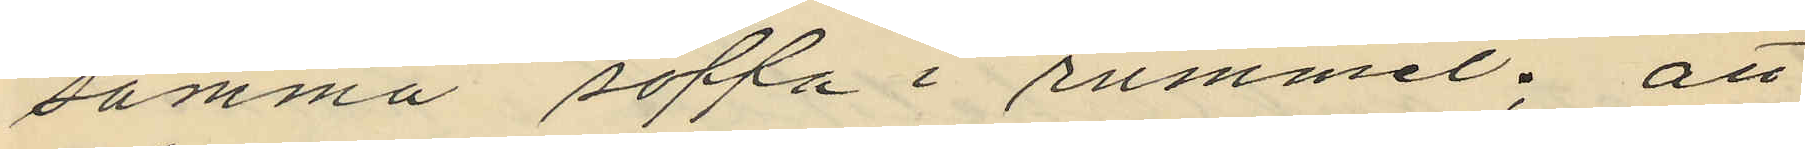samma soffa i rummet; att
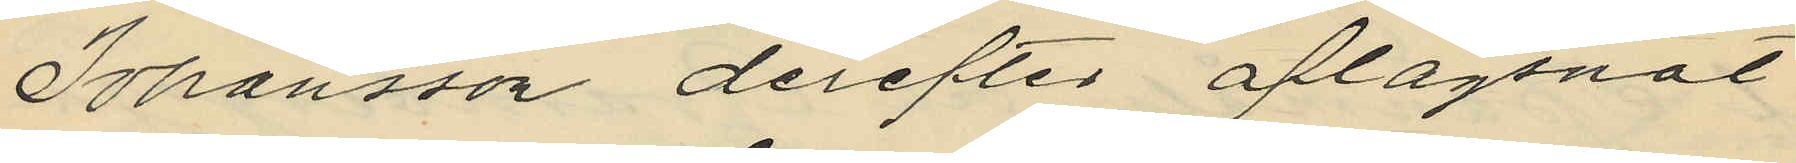Johansson derefter aflägsnat
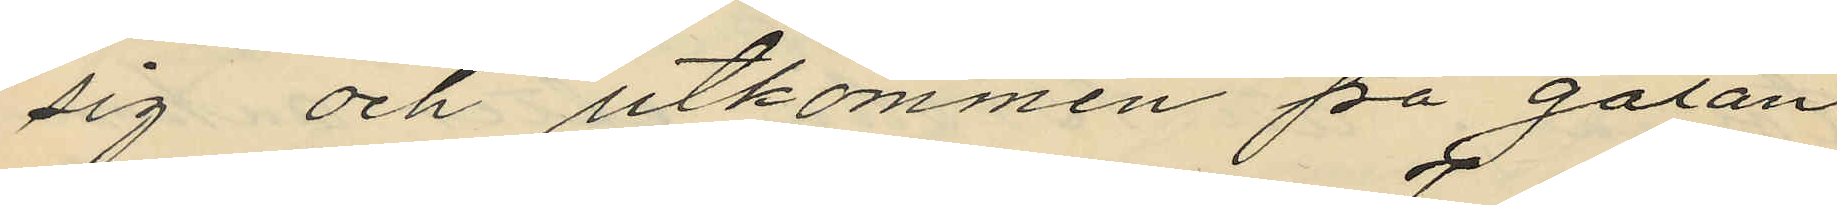sig och utkommen på gatan
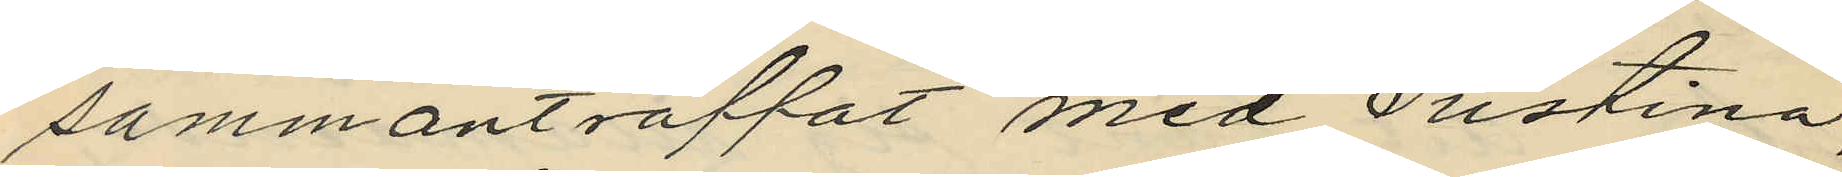sammanträffat med Justina,
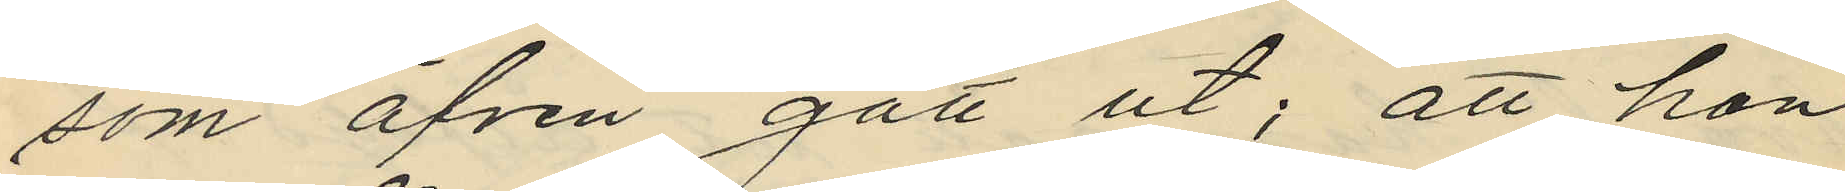som äfven gått ut; att han
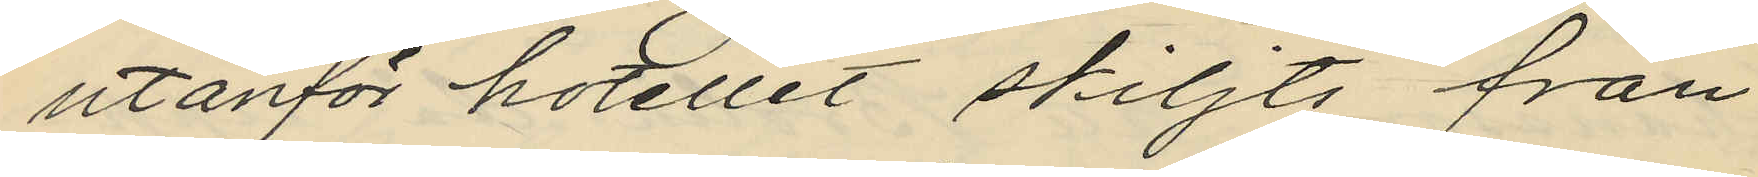utanför hotellet skiljts från
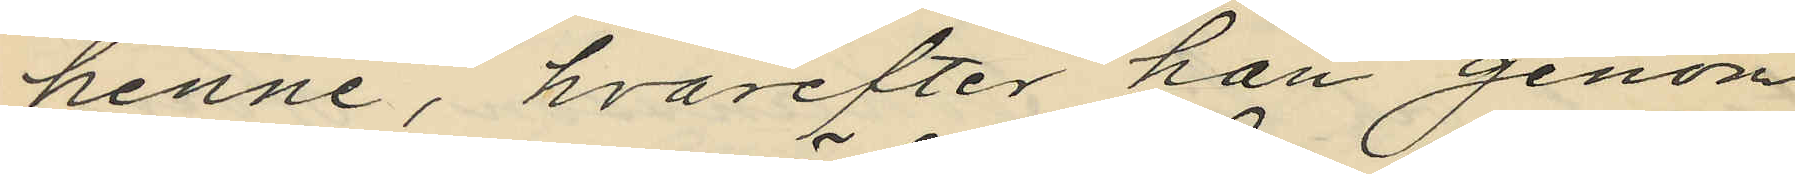henne, hvarefter han genom
